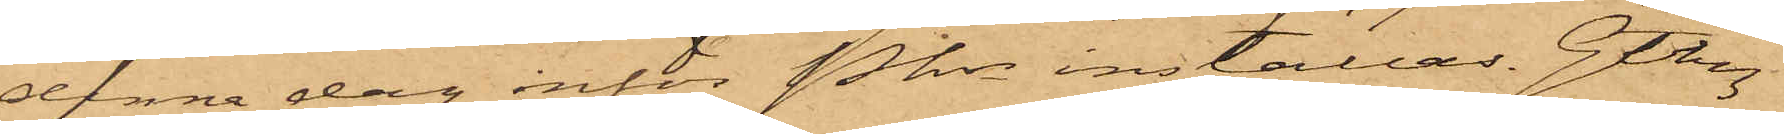denna dag inför Pkn inställas. Gtbg
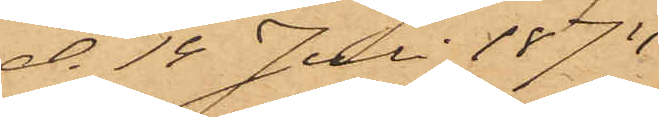d. 14 Juli 1874.
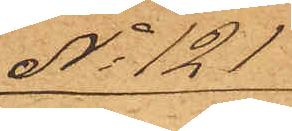No 121
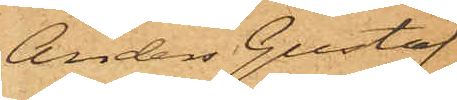Anders Gustaf
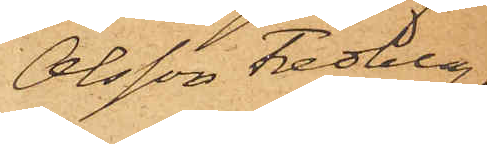Olsson Fredberg.
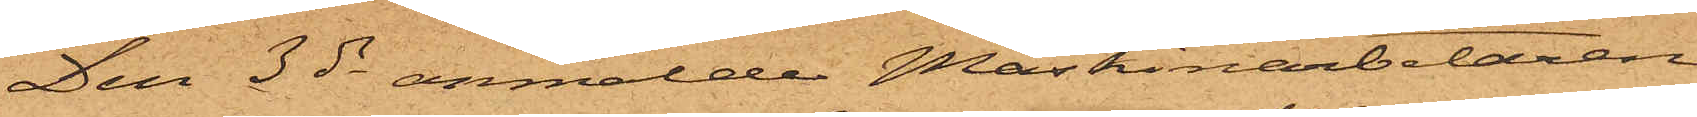Den 3 ds anmälde Maskinarbetaren
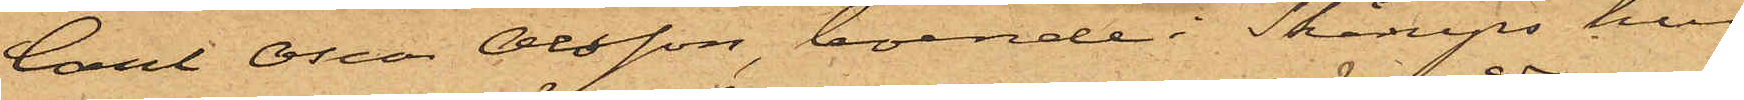Carl Oscar Olsson, boende i Skåreps hus
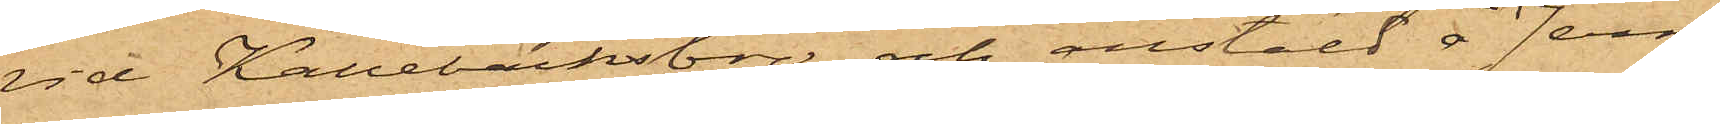vid Kallebäcksbro och anstäld å Jern¬
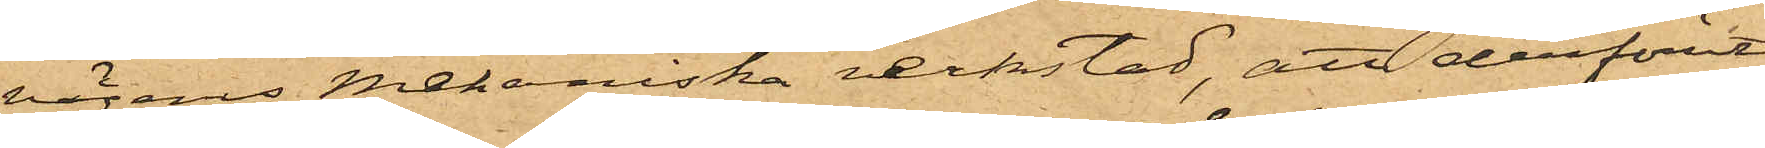vägens mekaniska verkstad, att derförut¬
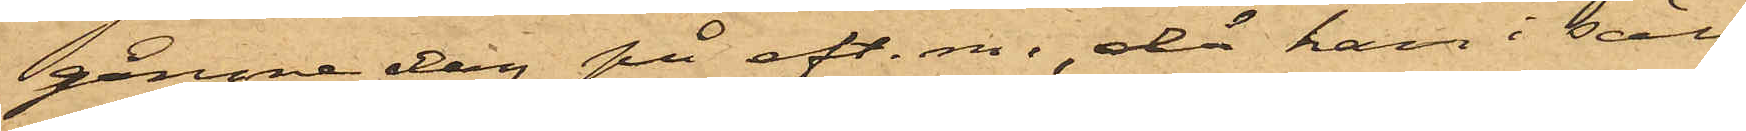gångne dag på eft. m., då han i säll¬
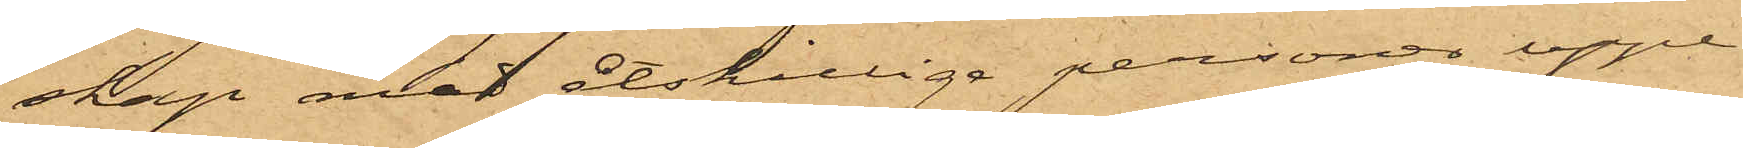skap med åtskillige personer uppe¬
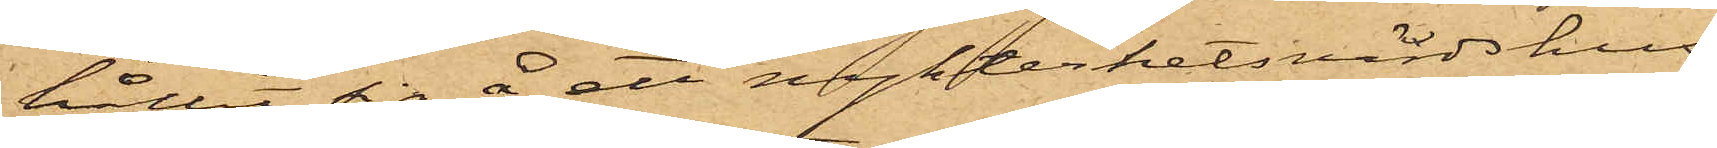hållit sig å ett nykterhetsvärdshus
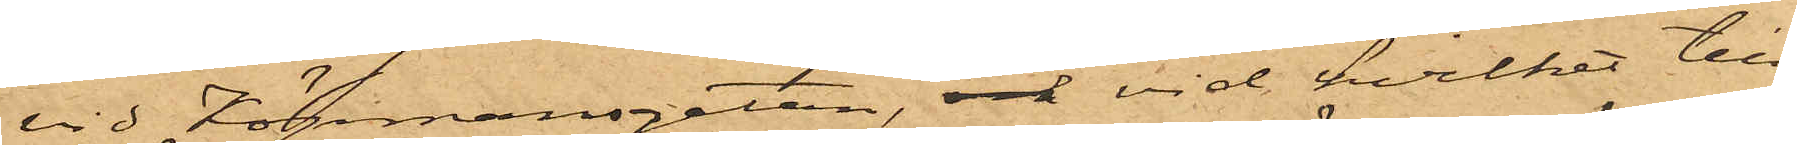vid Köpmansgatan, och vid hvilket till¬
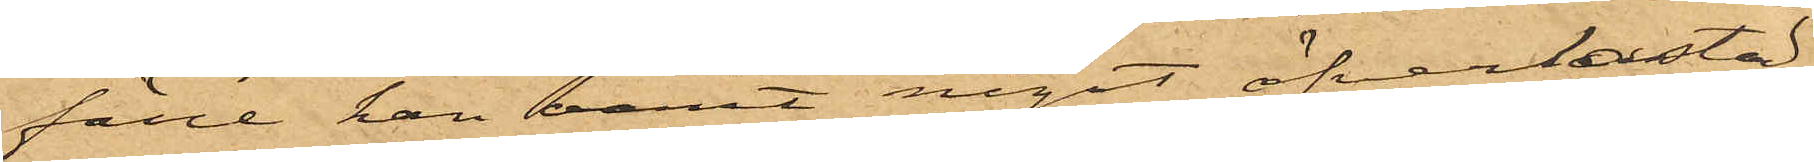fälle han varit något öfverlastad
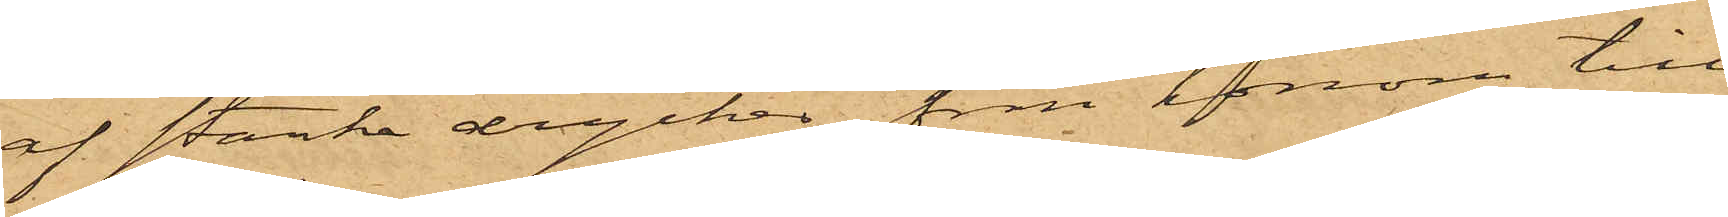af starke drycker, från honom till¬
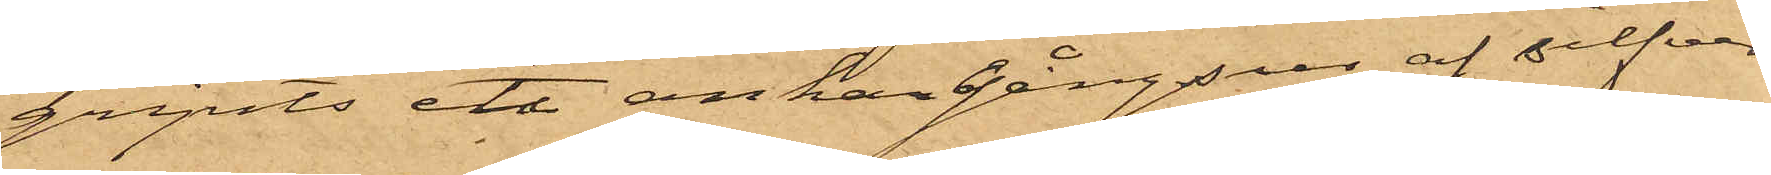gripits ett ankargångsur af silfver
